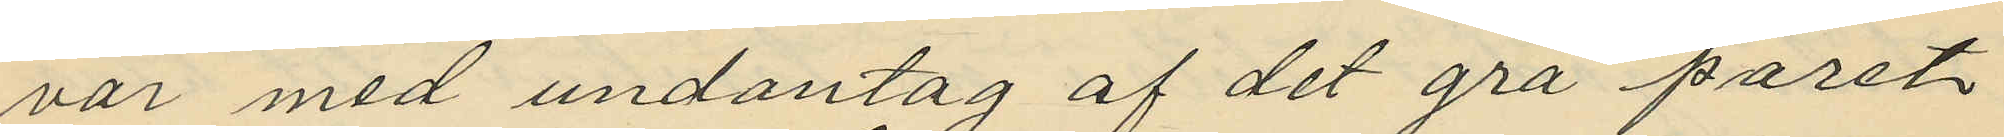var med undantag af det grå paret
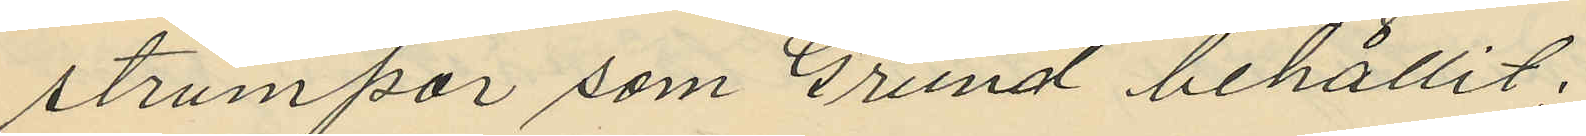strumpor som Grund behållit;
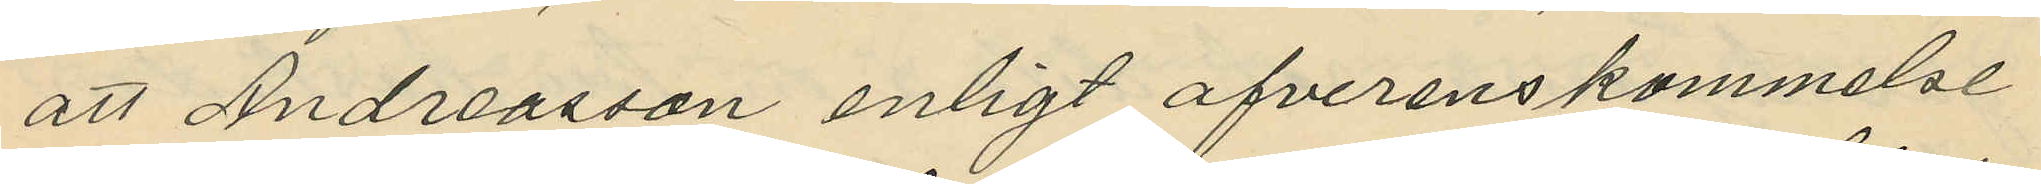att Andreasson enligt ofverenskommelse
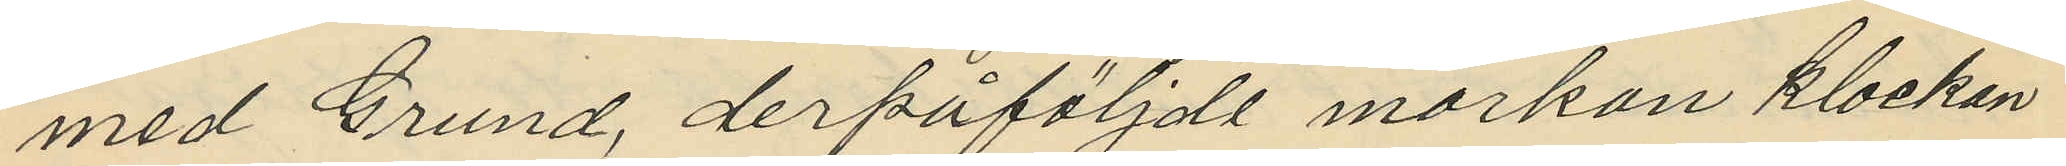med Grund, derpåföljde morkan klockan
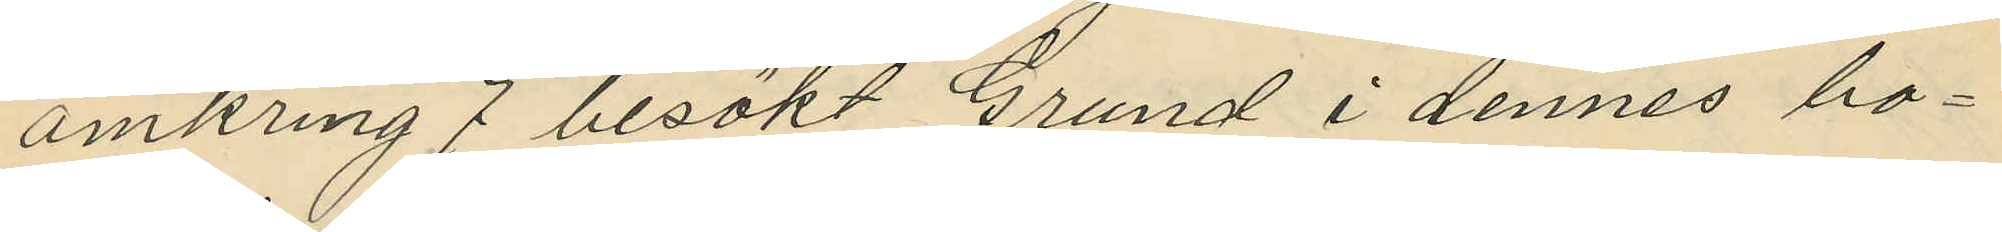omkring 7 besökt Grund i dennes bo¬
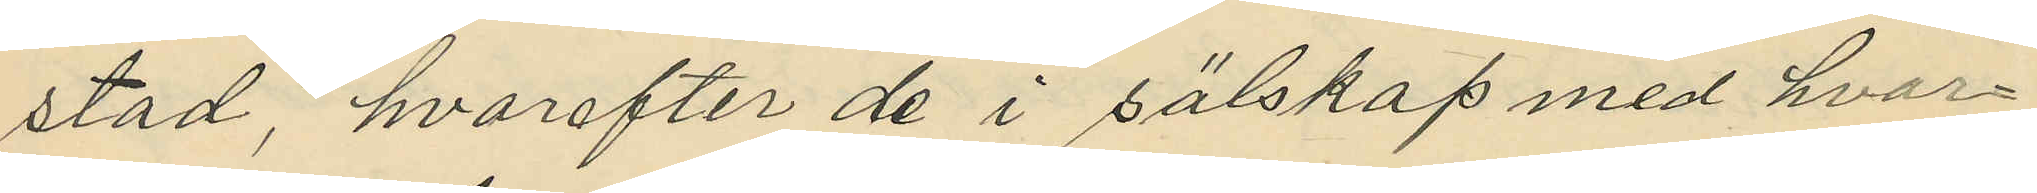stad, hvarefter de i sälskap med hvar¬
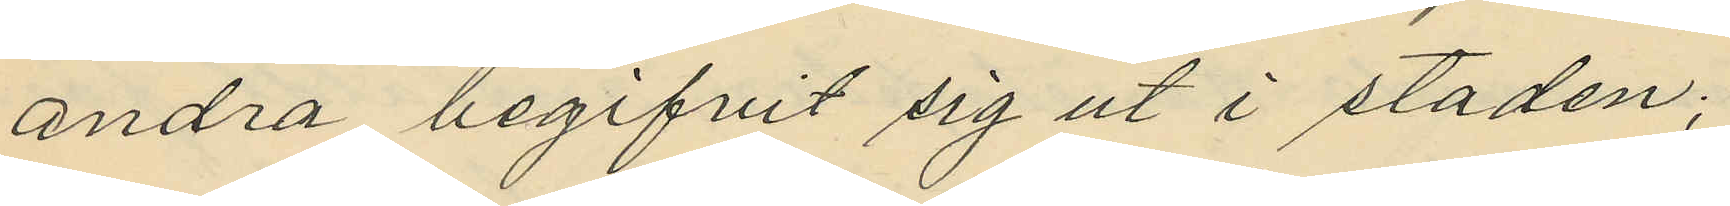andra begifvit sig ut i staden;
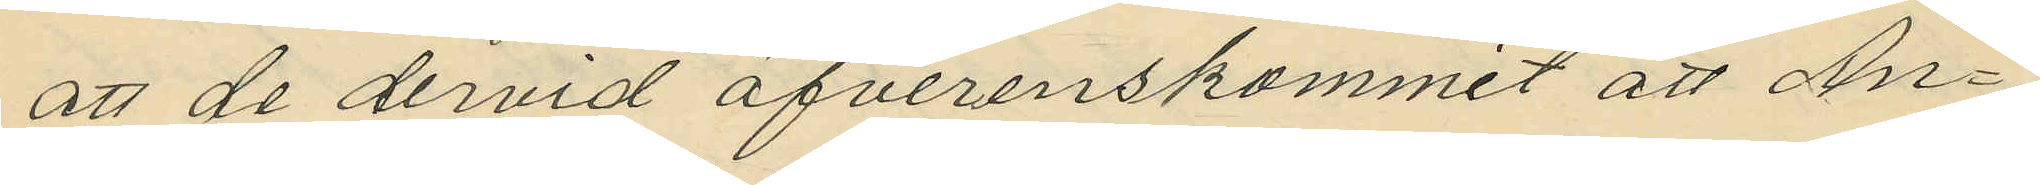att de dervid öfverenskommit att An¬
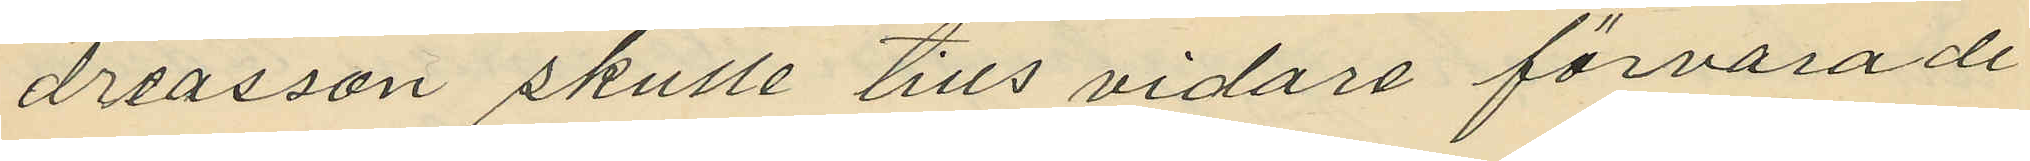dreasson skulle tills vidare förvara de
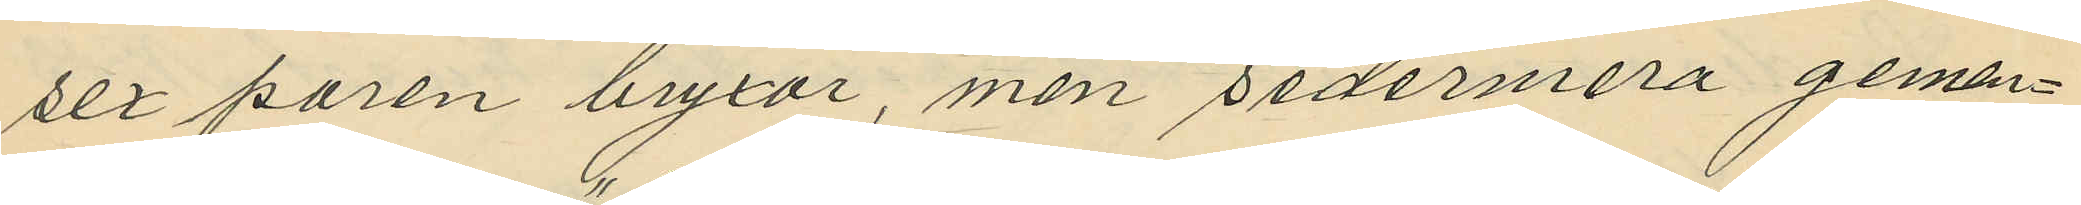sex paren bryxor, men sedermera gem¬
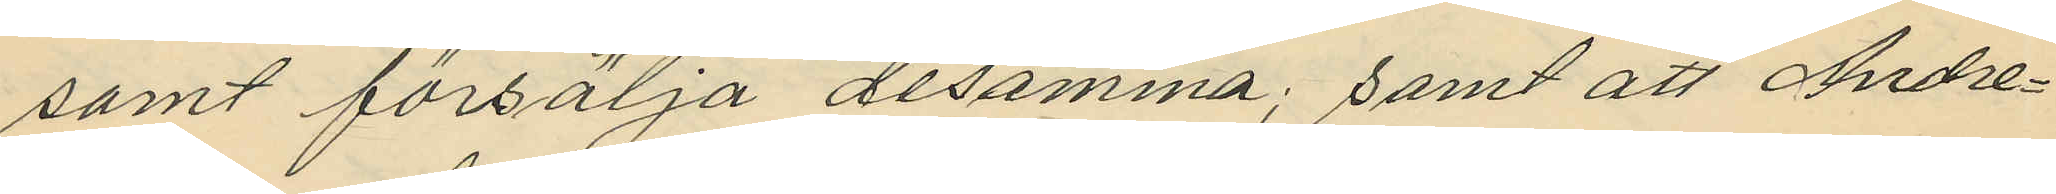samt försälja desamma; samt att Andre¬
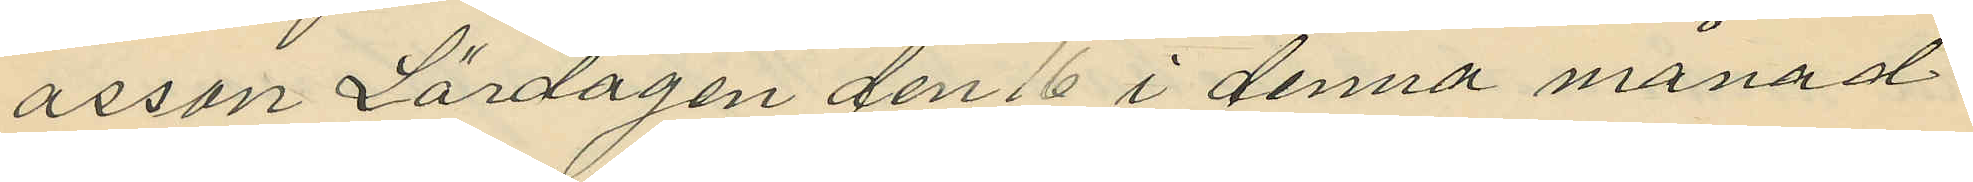asson Lördagen den 16 i denna månad
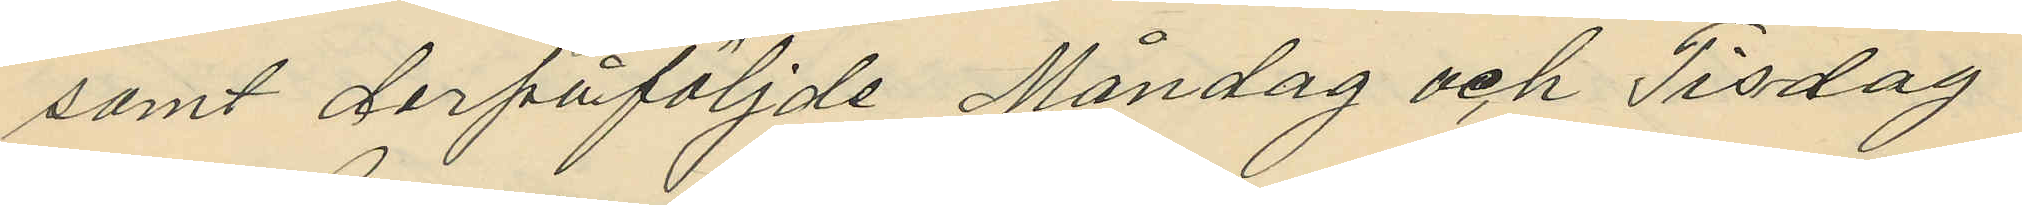samt derpåföljde Måndag och Tisdag
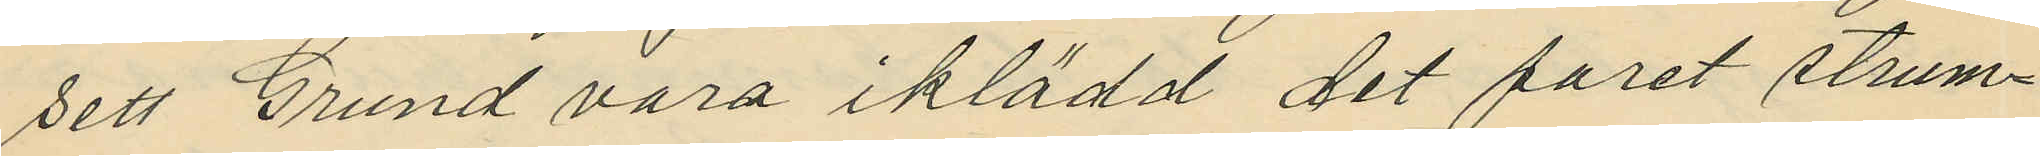sett Grund vara iklädd det paret strum¬
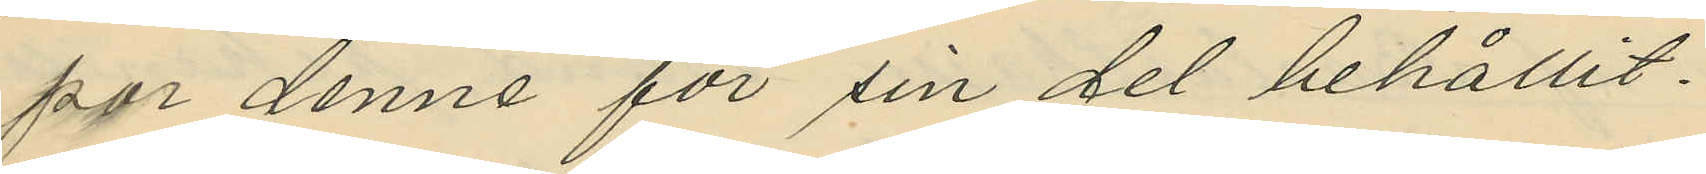por denne för sin del behållit.
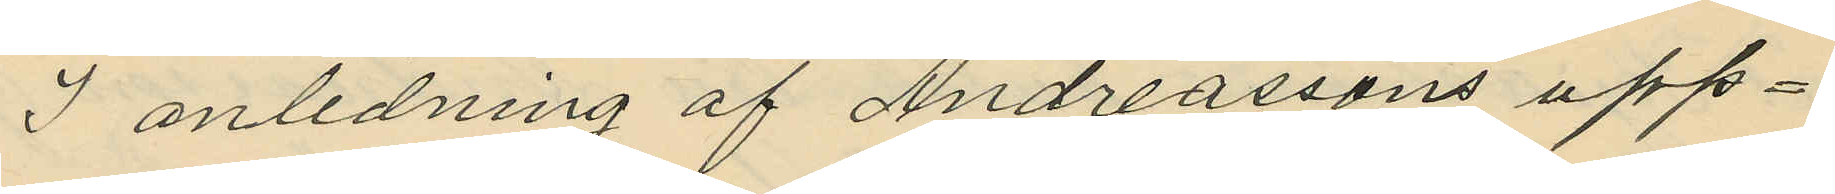I anledning af Andreassons upp¬
